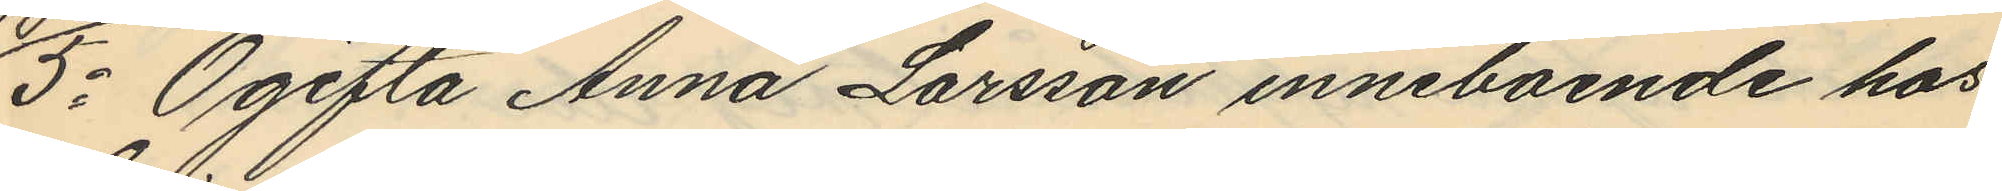5o Ogifta Anna Larsson inneboende hos
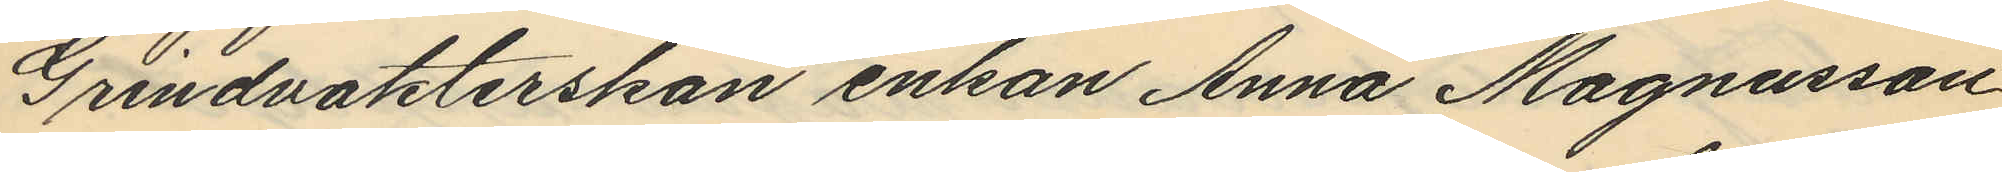Grindvakterskan enkan Anna Magnusson
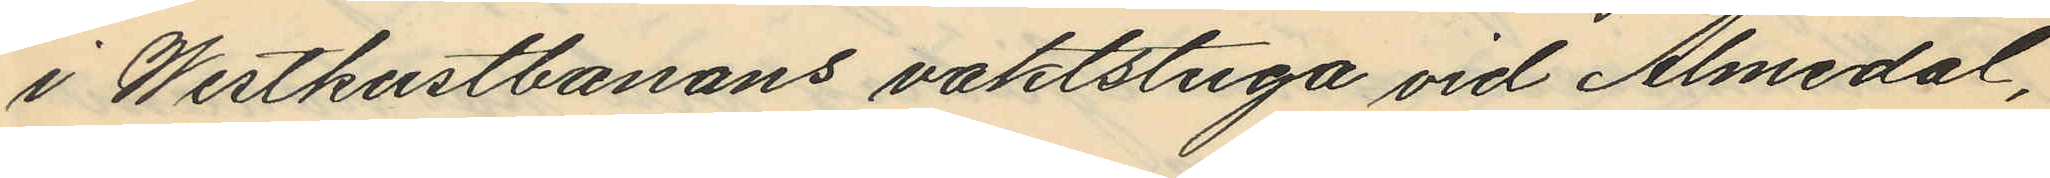i Westkustbanans vaktstuga vid Almedal,
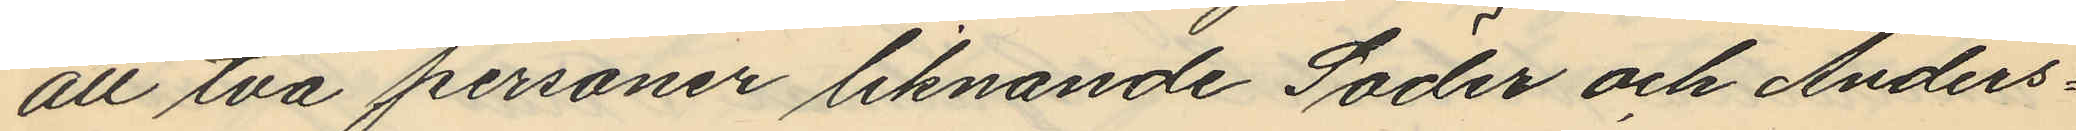att två personer liknande Söder och Anders¬
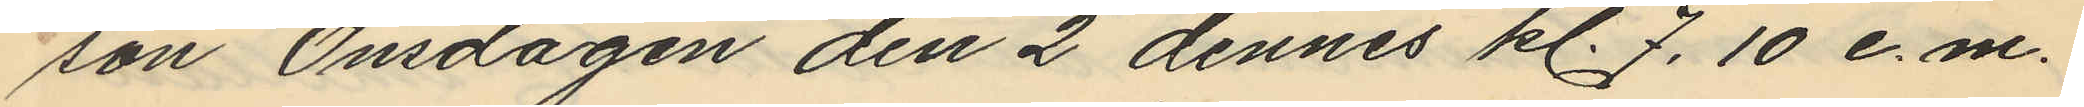son Onsdagen den 2 dennes kl. 7.10 e.m.
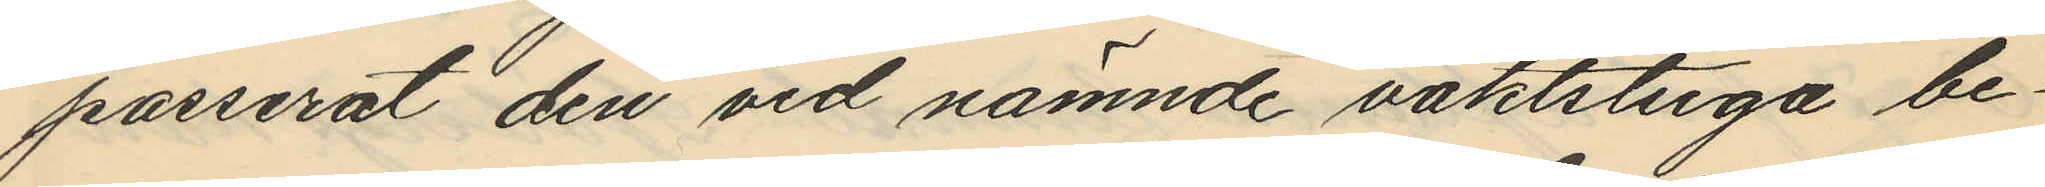passerat den vid nämnde vaktstuga be¬
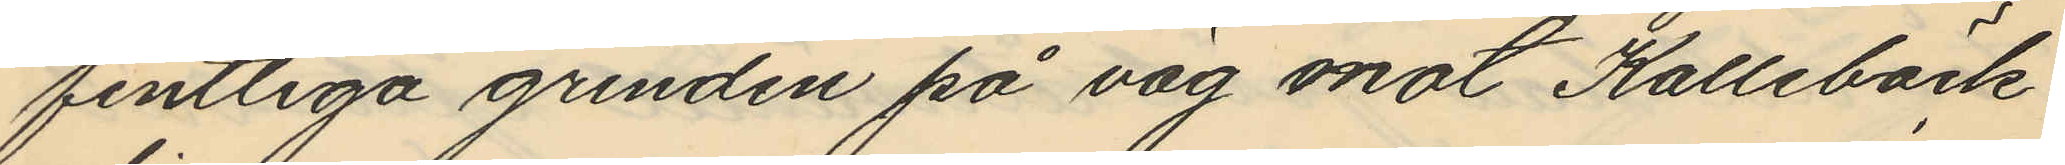fintliga grinden på väg mot Kallebäck
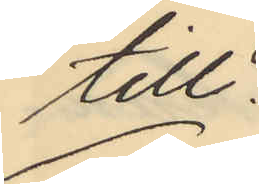till.
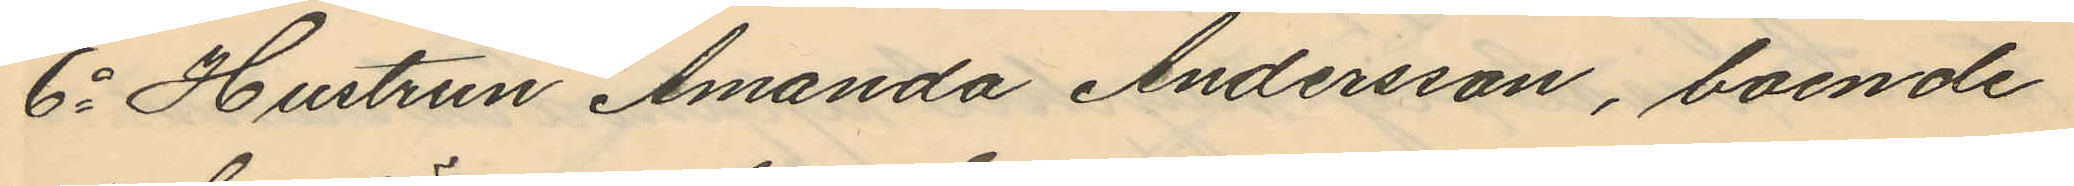6o Hustrun Amanda Andersson, boende
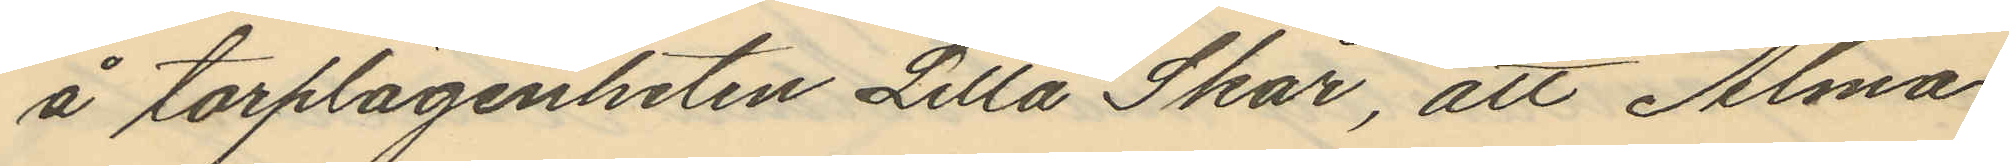å torplägenheten Lilla Skår, att Alma
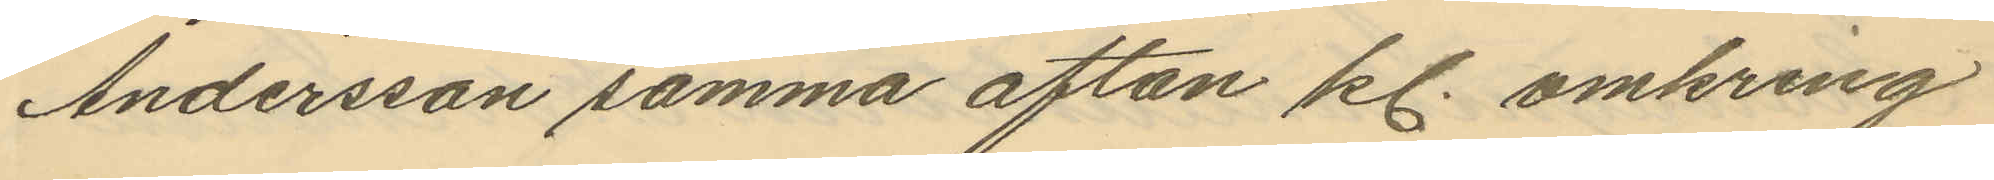Andersson samma afton kl. omkring
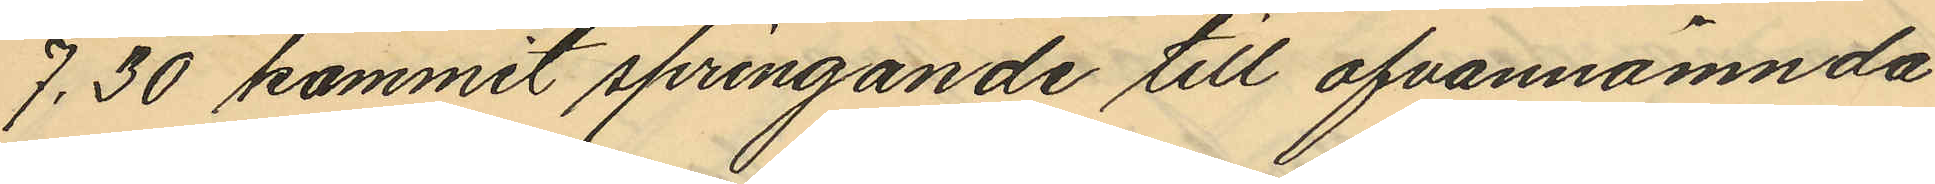7.30 kommit springande till ofvannämnda
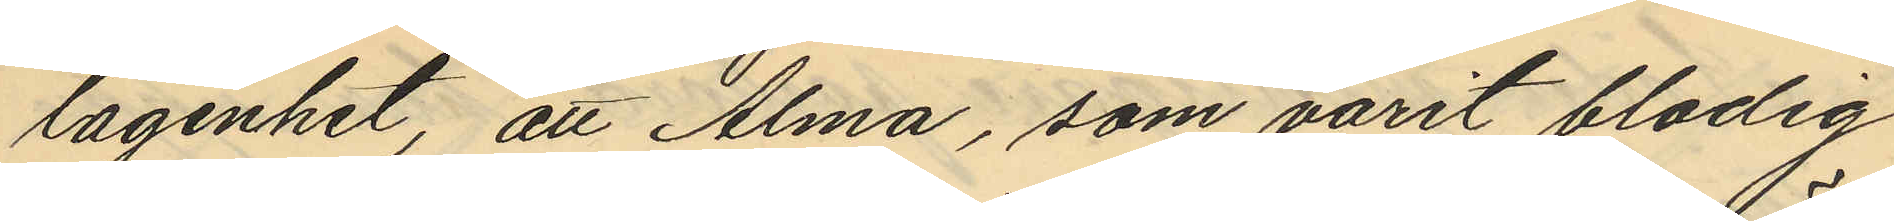lägenhet, att Alma, som varit blodig
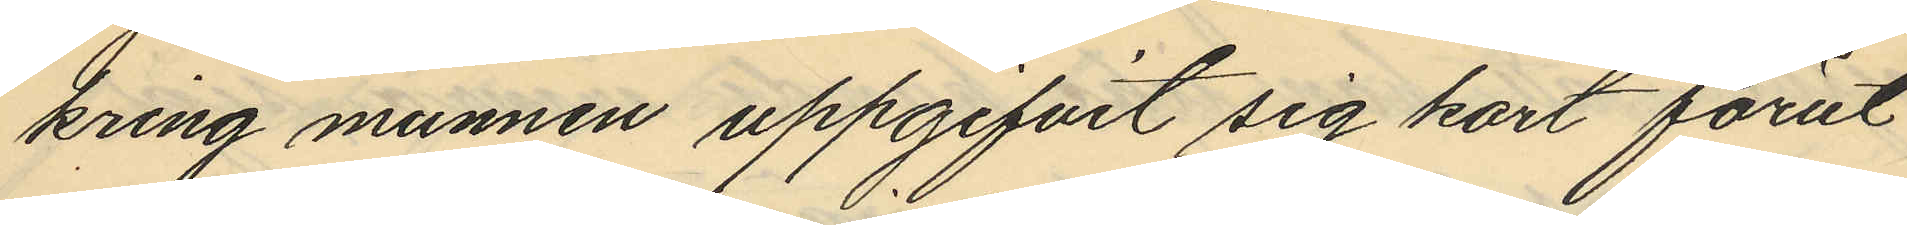kring munnen uppgifvit sig kort förut
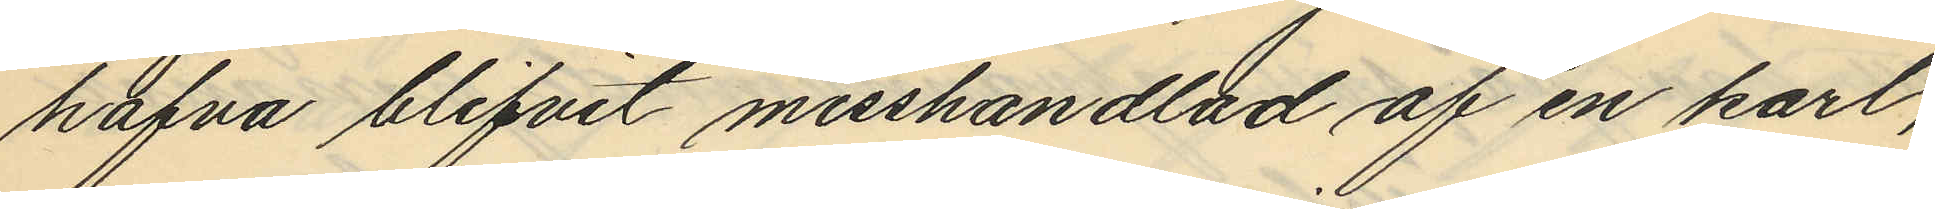hafva blifvit misshandlad af en karl,
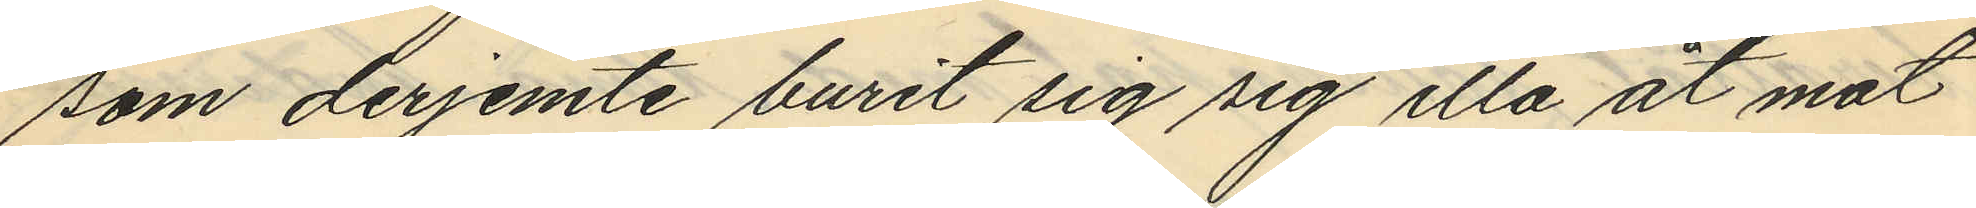som derjemte burit sig sig illa åt mot
